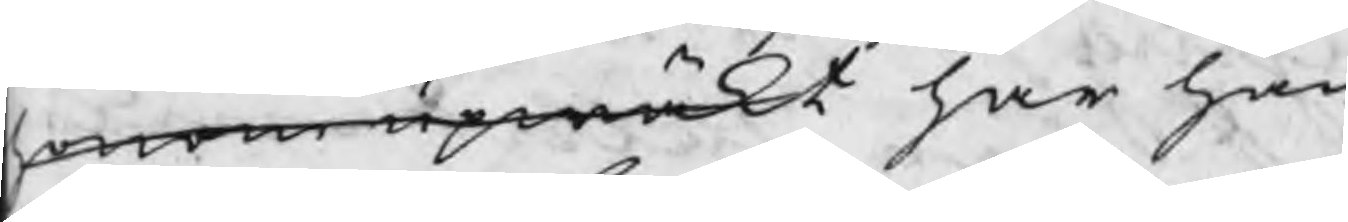honom upwäkt har han 
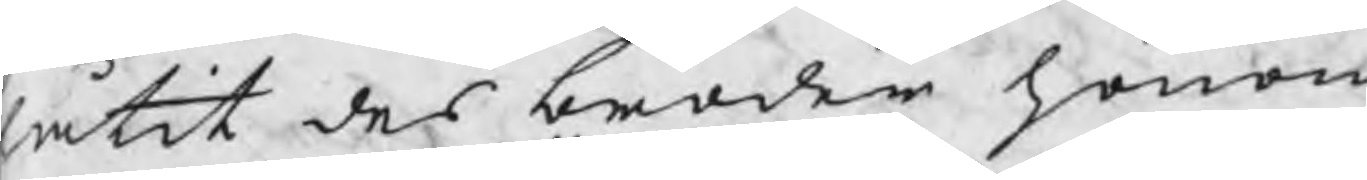låtit des broder honom
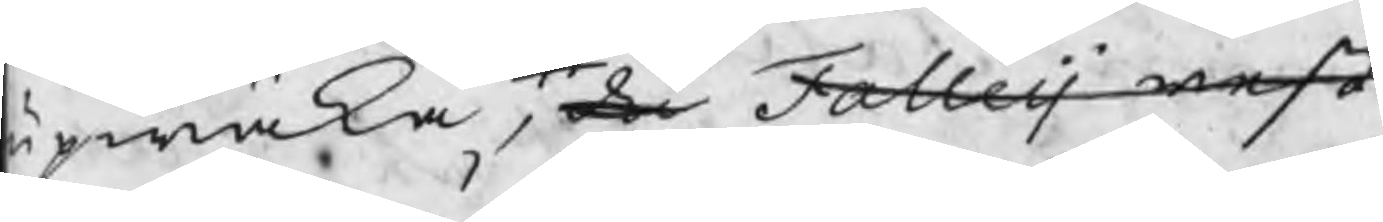upwäka, då Falleij rest
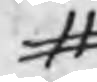#
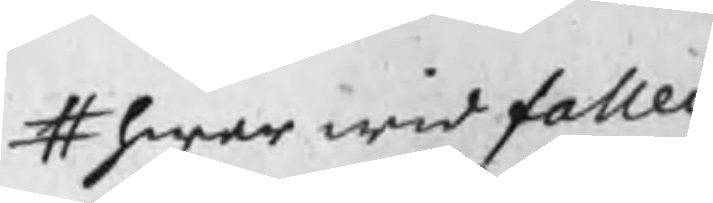# hwar wid fallei
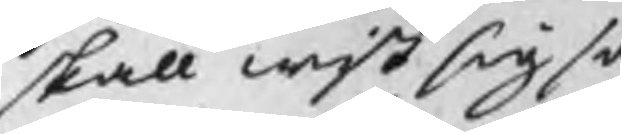skall wist sig så
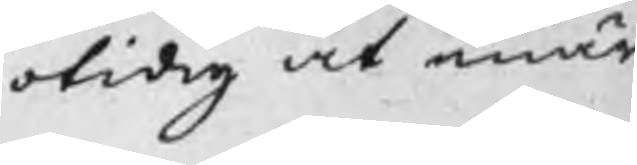otidig at enär
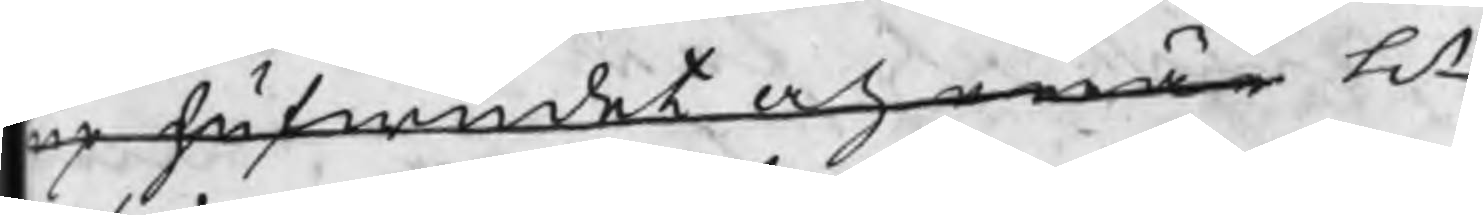up hufwudet och enär H
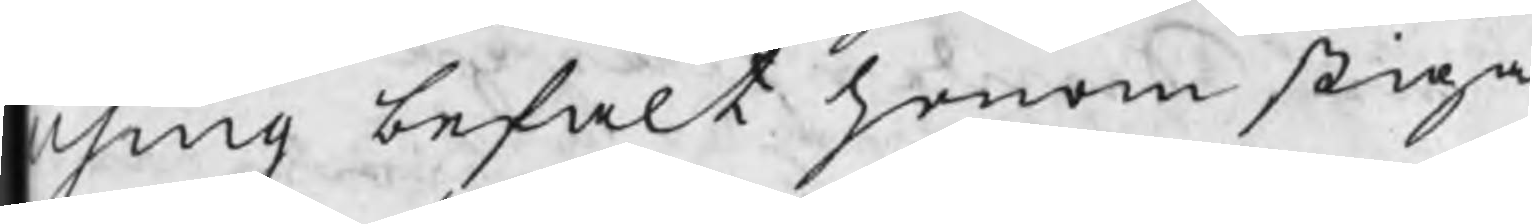Using befalt honom stiga
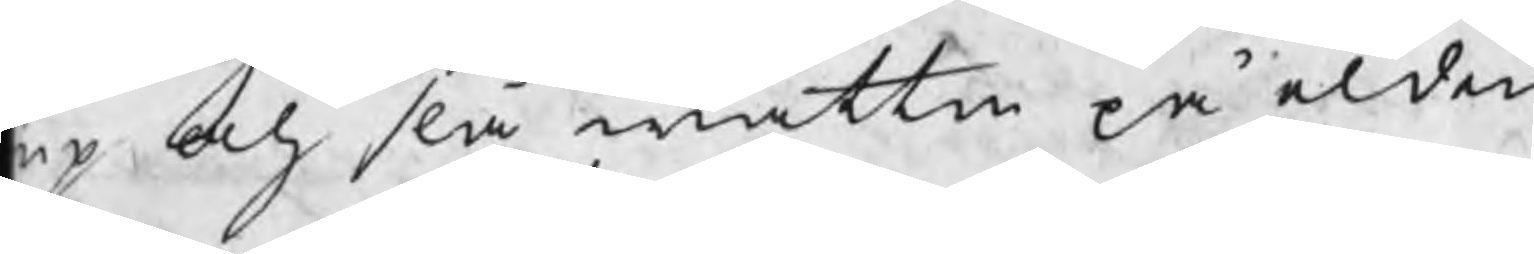up och slå wattn på elden,
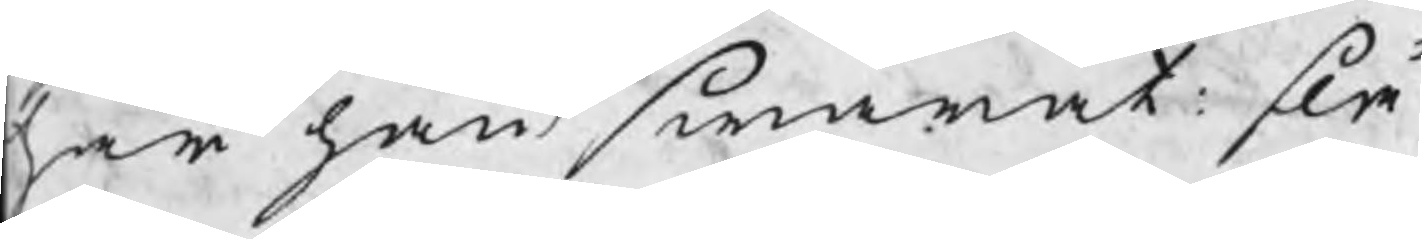har han swarat: slå
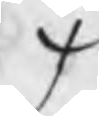/
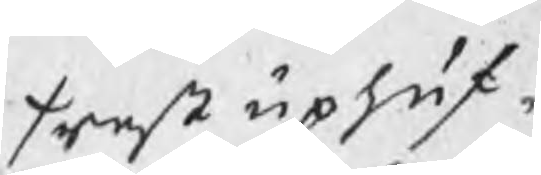/ rest up huf¬
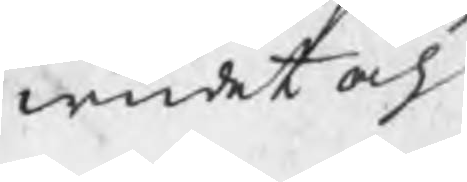wudet och
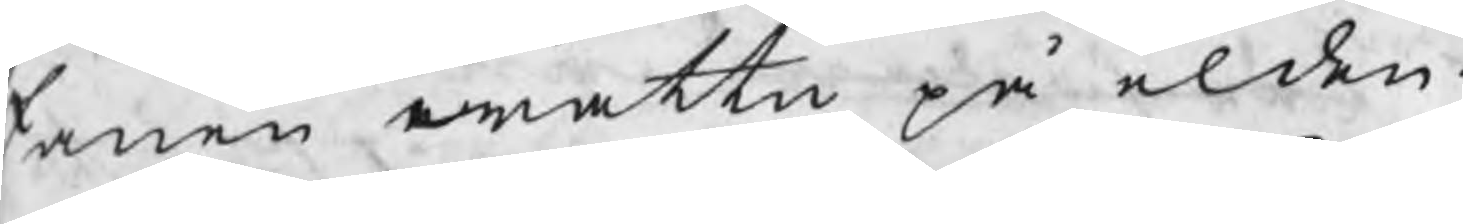fanen wattn på elden.
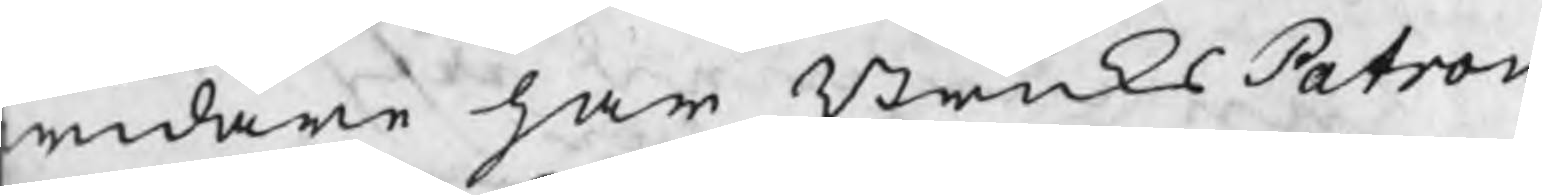widare har BruksPatron
